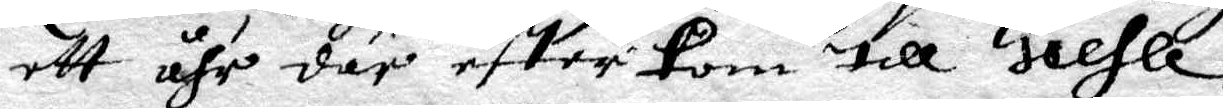ett åhr där efter kom till Giefle.
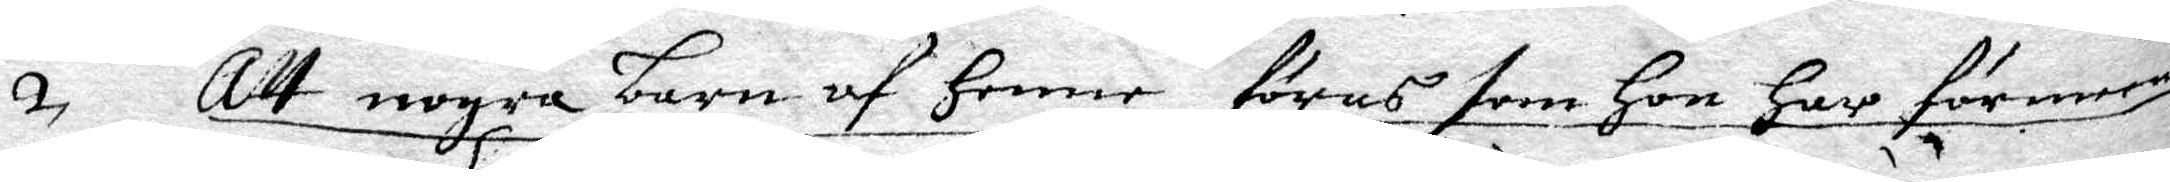2. Att nogra barn af henne föras som hon har förmenat
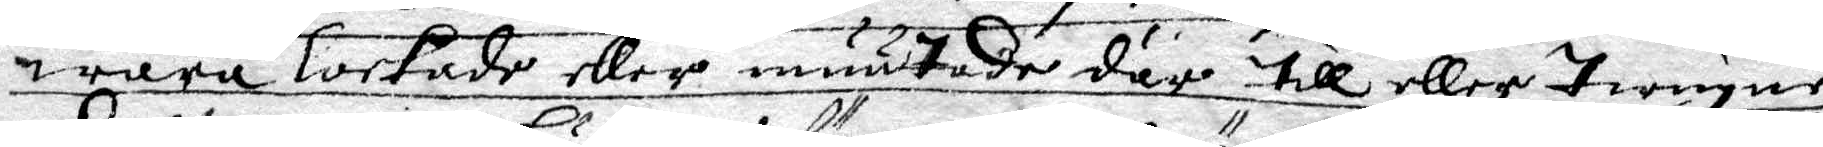wara lockade eller muutade där till eller twugne.
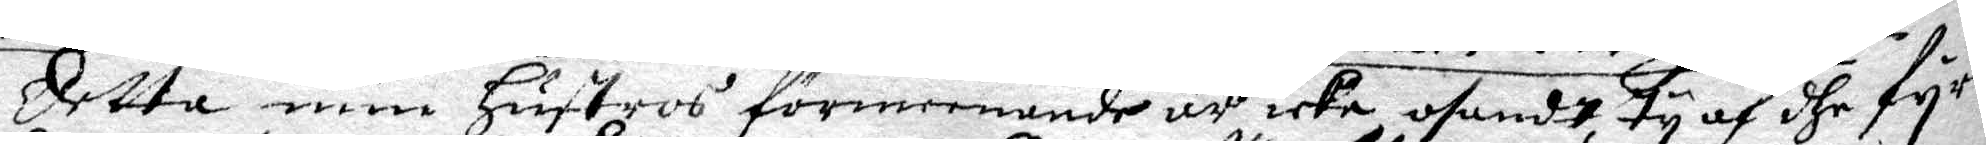Detta min hustros förmeenande 'r icke osandt ty af dhe fyra
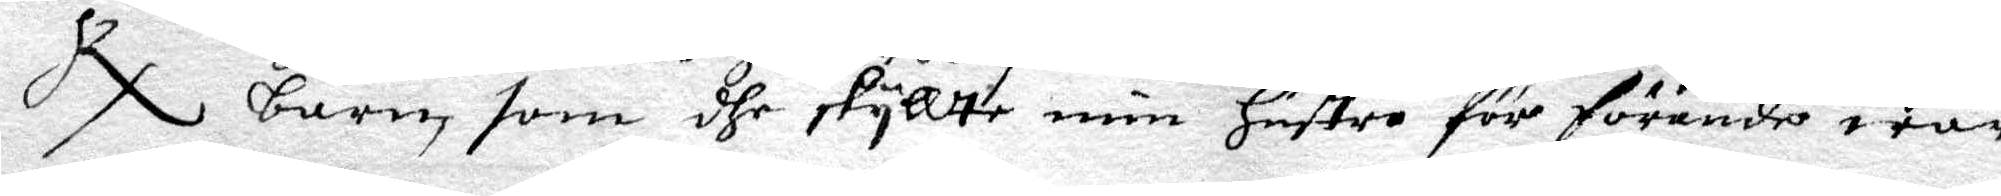RX barn, som dhe skyllte min hustros för förande war
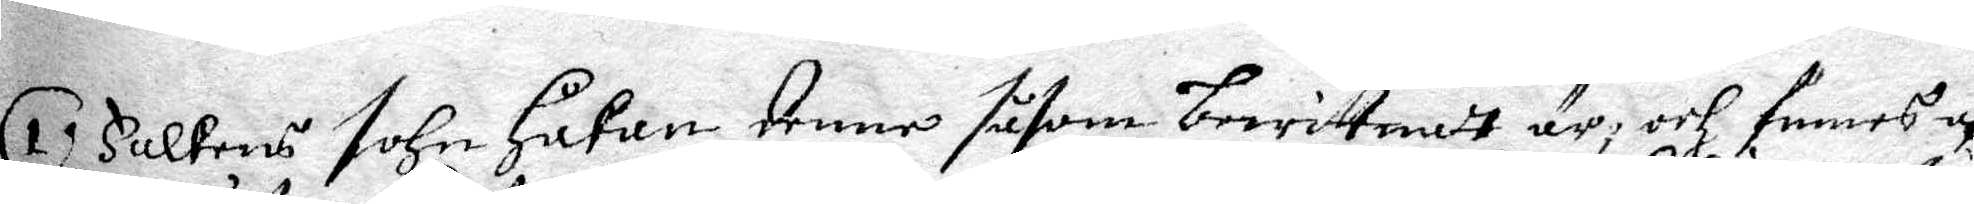1. Falkens sohn Håkan, denne såsom bewittnat är, och funnes af
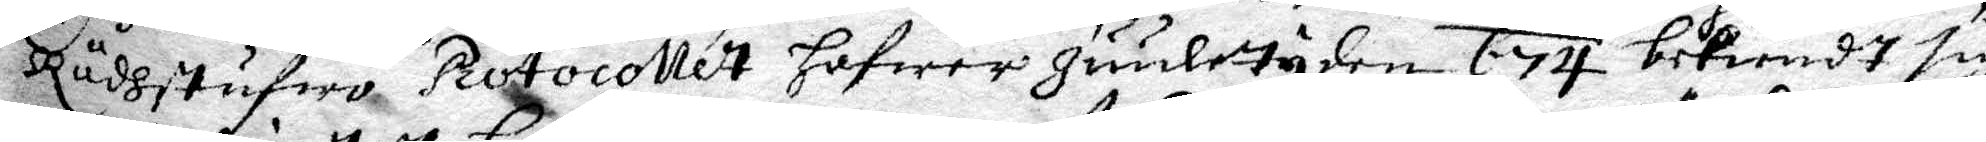Rådhstufwo Protocollet hafwer Juultyden 674 bekiändt sig
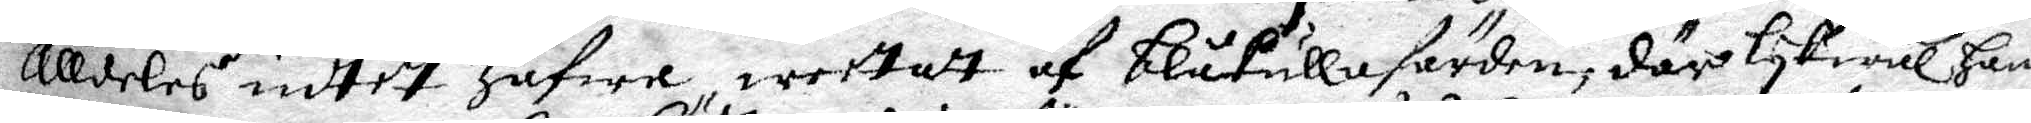alldeles intet hafwa weetat af blåkullafärden, där lykwäl hans
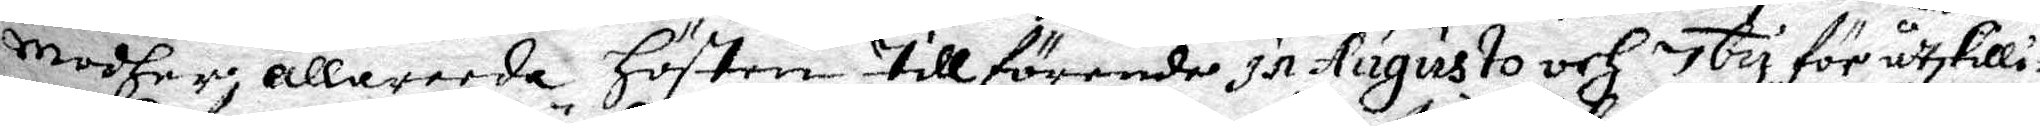modher, allareeda hösten tillförende In Augusto och 7by för åtskilli¬
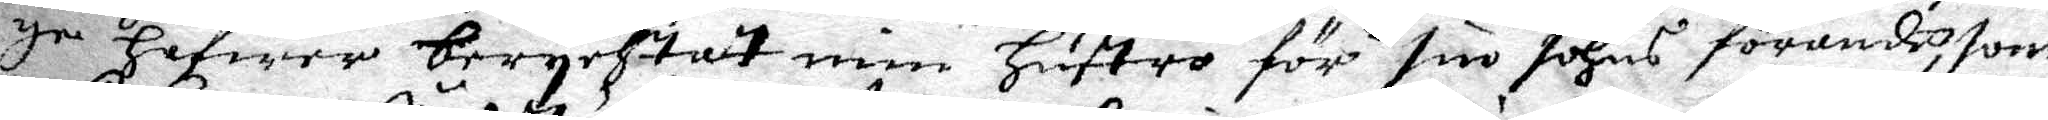ge hafwer berychtat min hustro för sin sohns förande, som
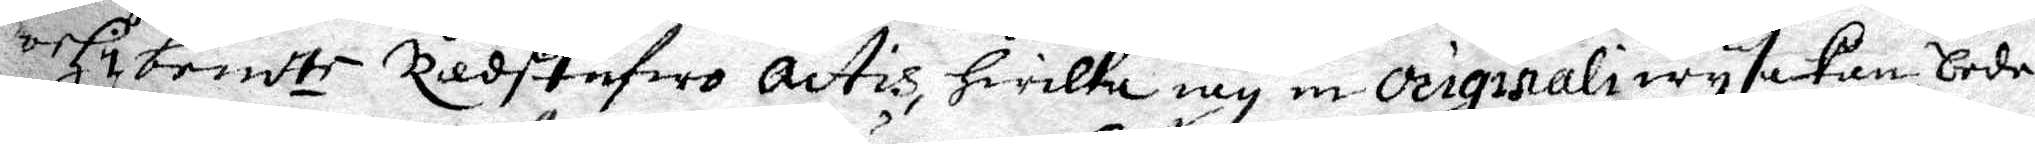och i bemd te Rådstufwo actis, hwilka iag in Originali wyse kan, bede¬
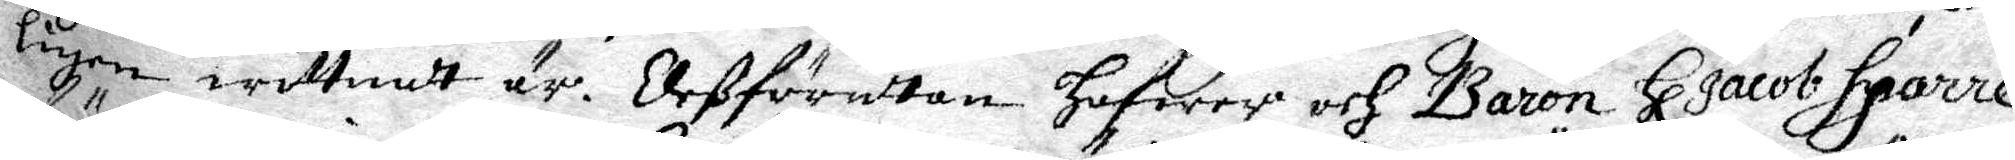ligen wittnat är. Deß förutan hafwer och Baron Hl Jacob Sparre
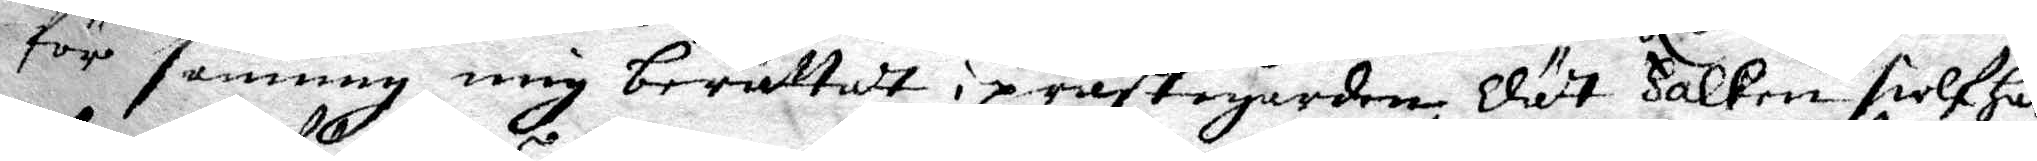för sanning mig berättat i prästegården Dätt Falken sielf har
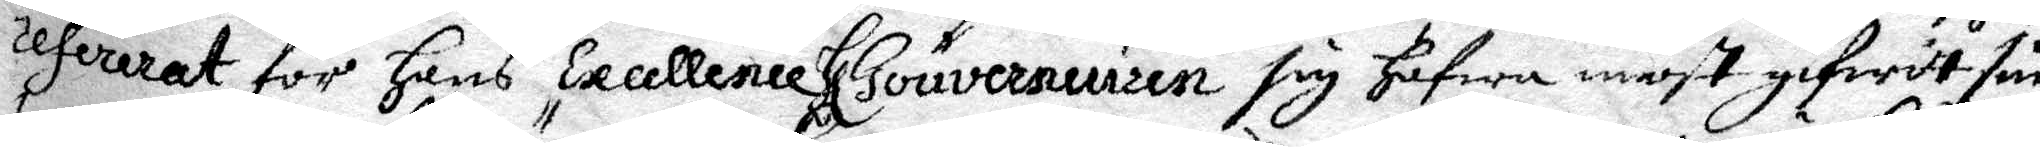refererat för hans Excellence Gouverneuren sig hafwa most gifwit sin
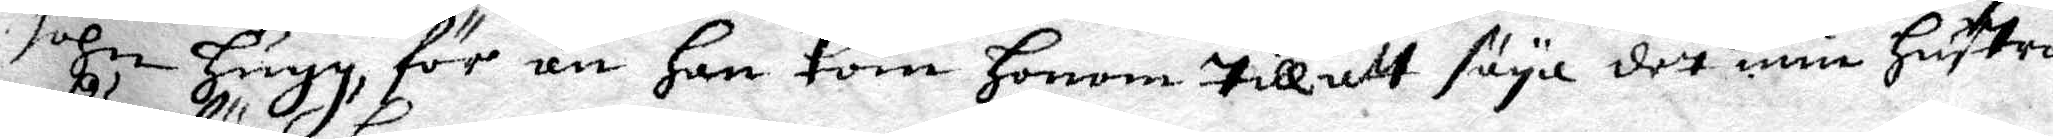sohn hugg, för än han kom honom till att säya det min hustro
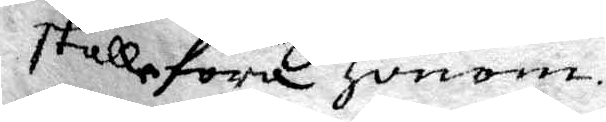skulle föra honom.
